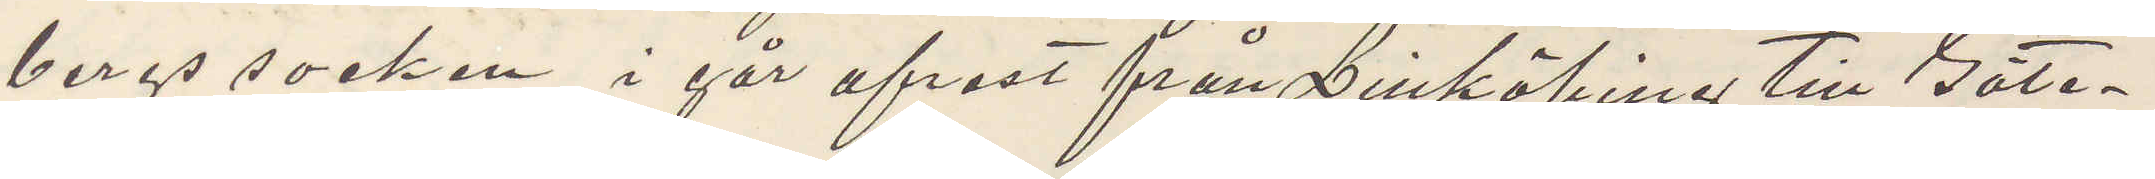bergs socken, i går afrest från Linköping till Göte¬
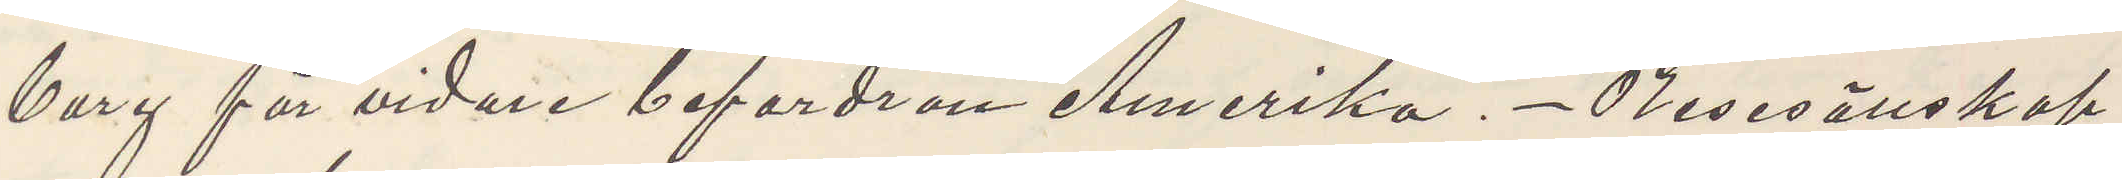borg för vidare befordran Amerika. Resesällskap
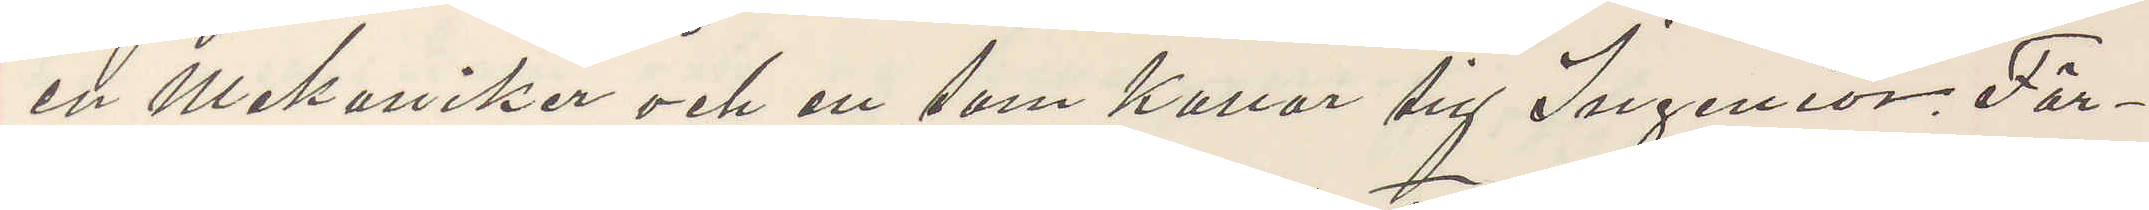en mekaniker och en som kallar sig Ingeniör. För¬
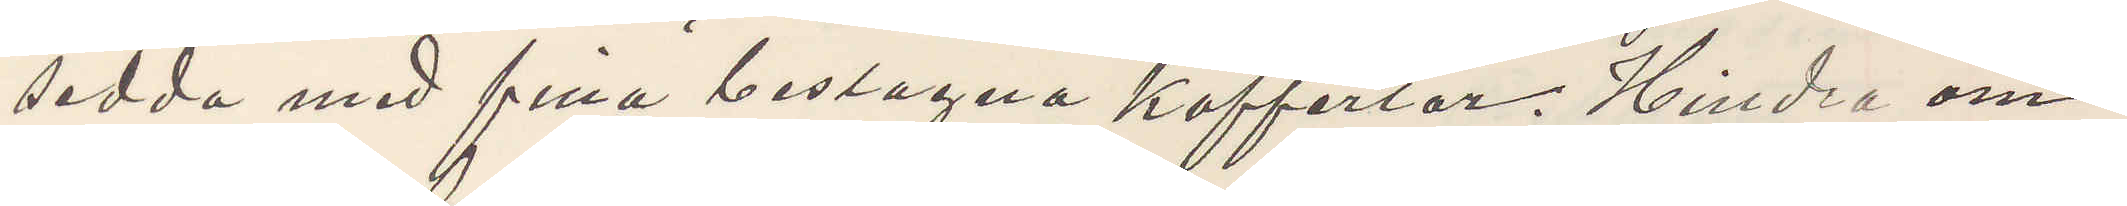sedda med fina beslagna koffertar. Hindra om
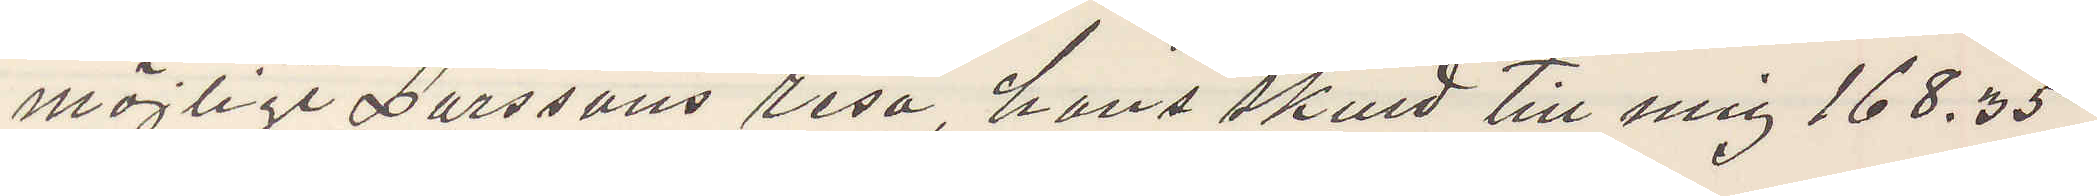möjligt Larssons resa, hans skuld till mig 168,35
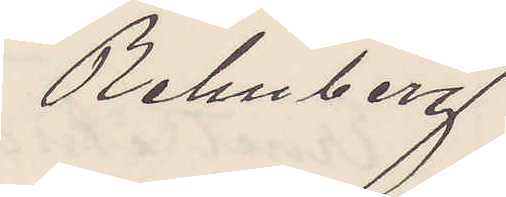Rehnberg
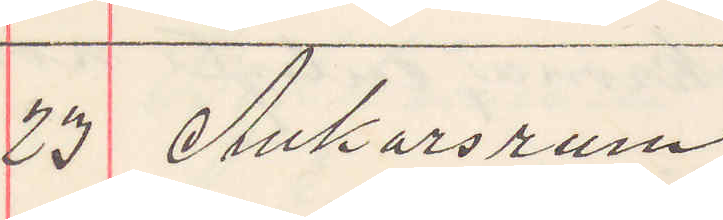23 Ankarsrum.
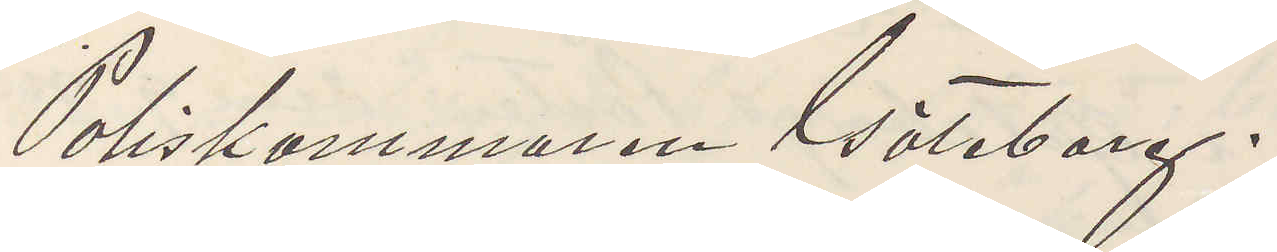Poliskammaren Göteborg.
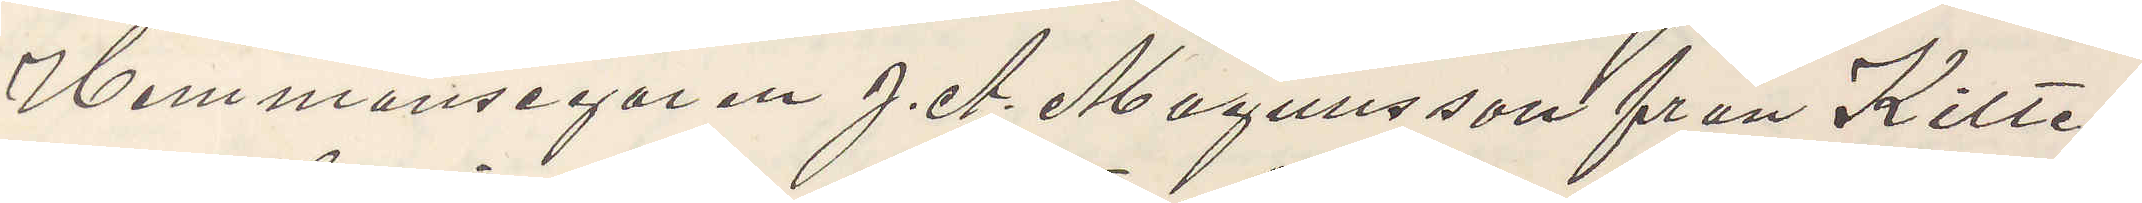Hemmansegaren J. A. Magnusson från Kilte¬
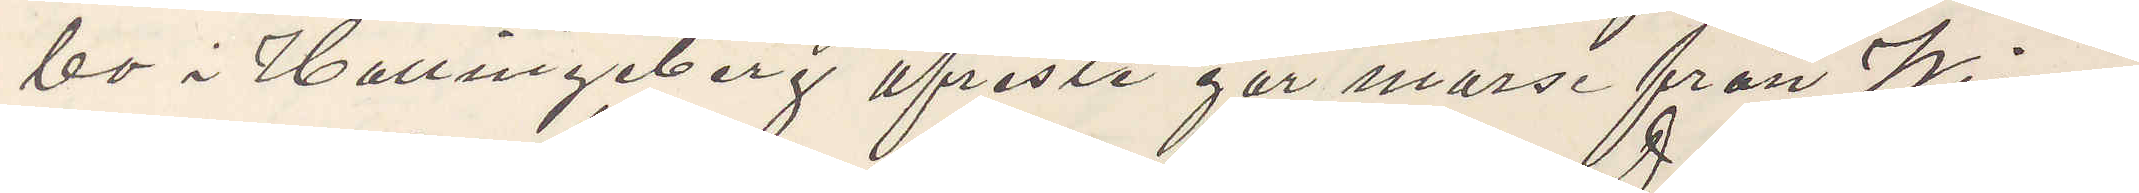bo i Hallingeberg afreste går morse från Wim¬
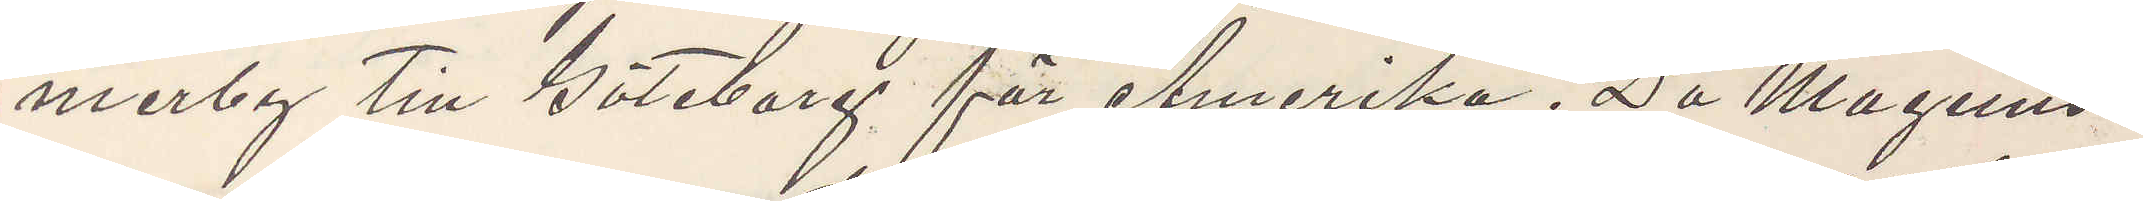merby till Göteborg för Amerika. Då Magnus¬
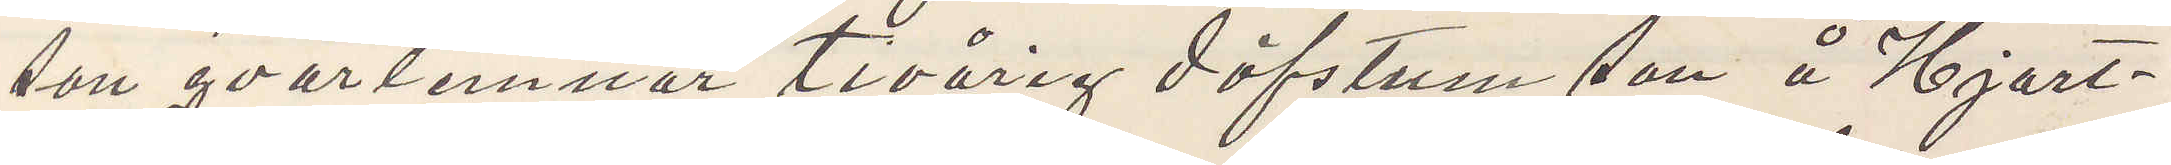son qvarlemnar tioårig döfstum son å Hjort¬
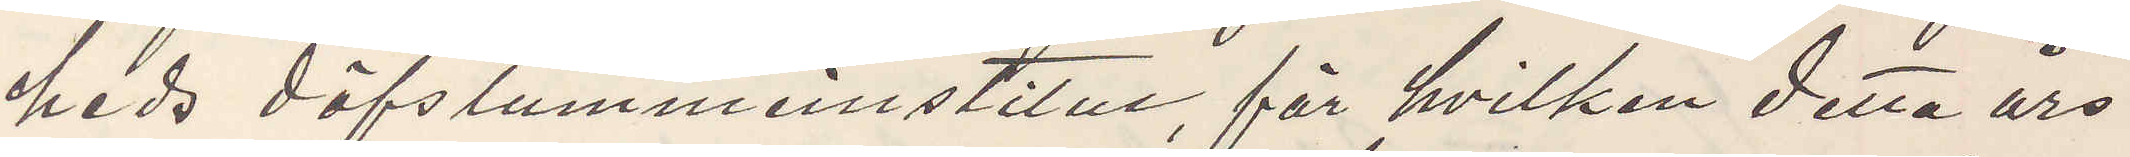heds döfstummeinstitut, för hvilken detta års
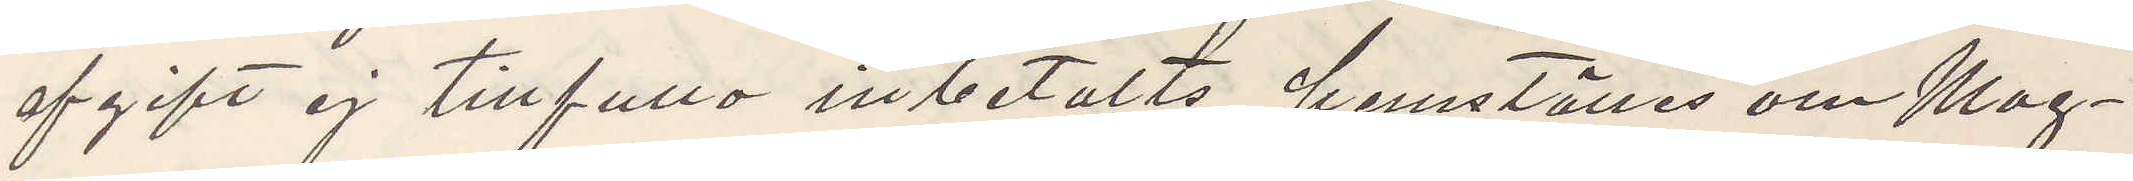afgift ej tillfullo inbetalts, hemställes om Mag¬
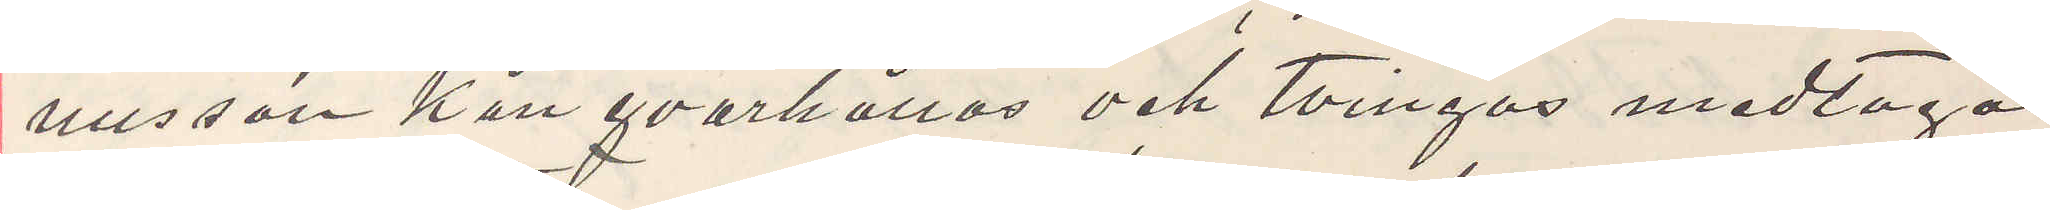nusson kan qvarhållas och tvingas medtaga
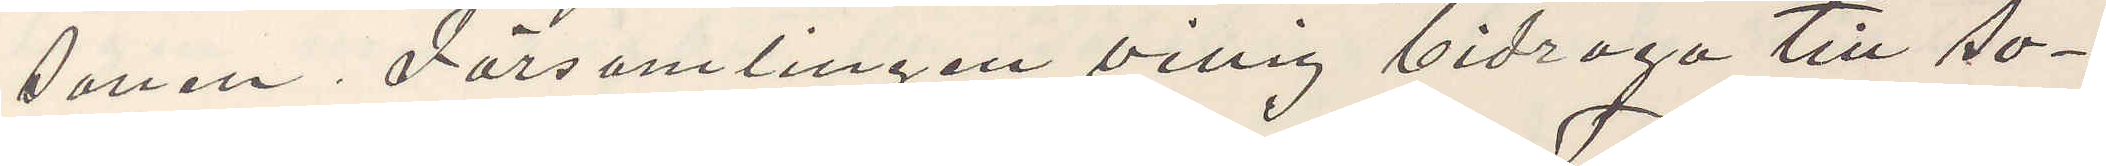sonen. Församlingen villig bidraga till so¬
